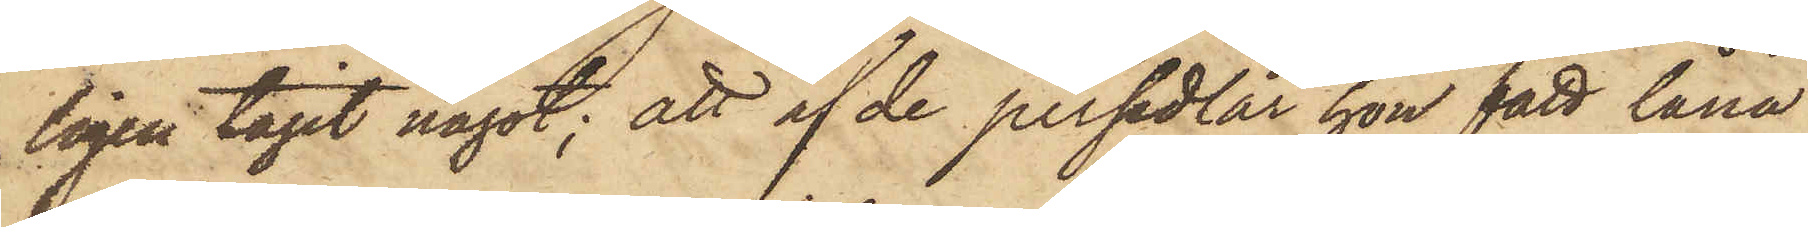ligen tagit något; att af de persedlar hon fått låna
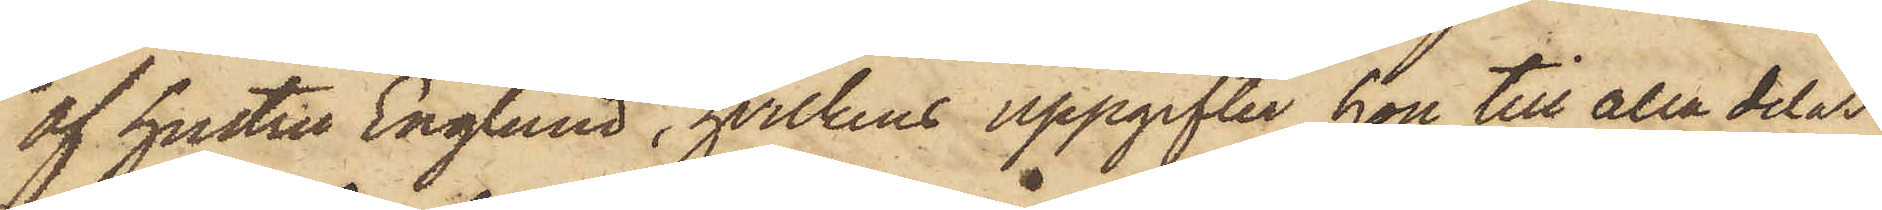af hustru Englund, hvilkens uppgifter hon till alla delar
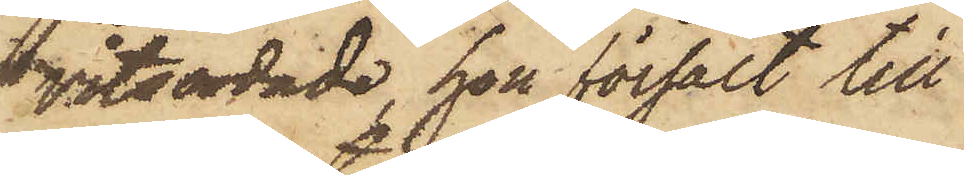vitsordade, hon försålt till
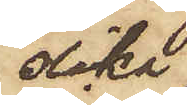olika
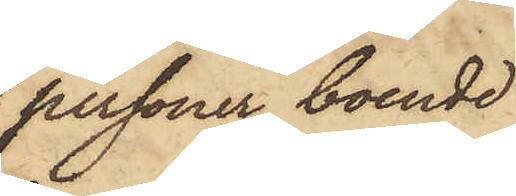personer boende
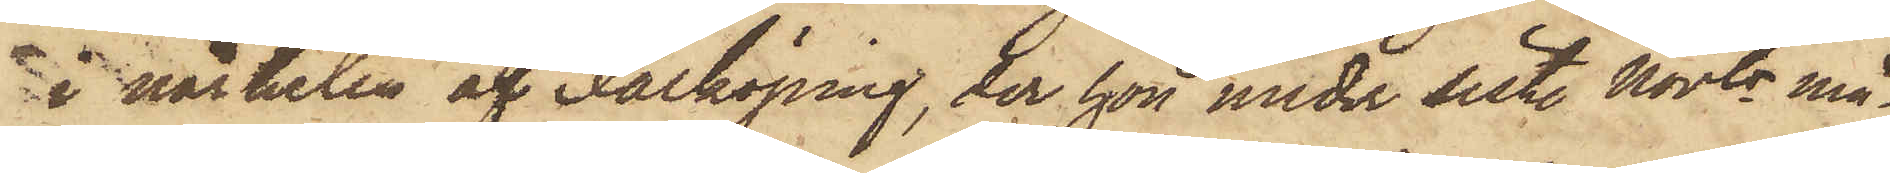i närheten af Falköping, der hon under sist. Novbr må¬
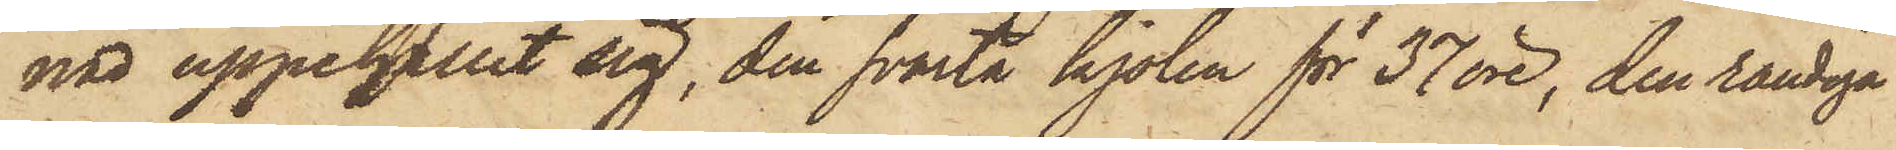nad uppehållit sig, den svarta kjolen för 37 öre, den randiga
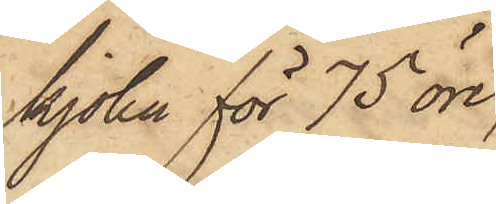kjolen för 75 öre,
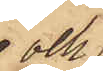och
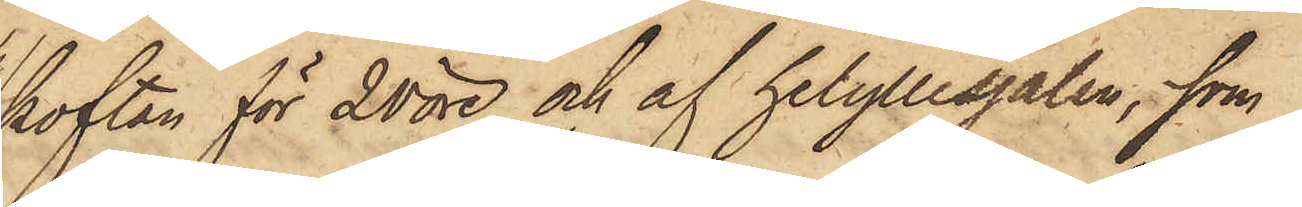koftan för 20 öre och af helyllesjalen, som
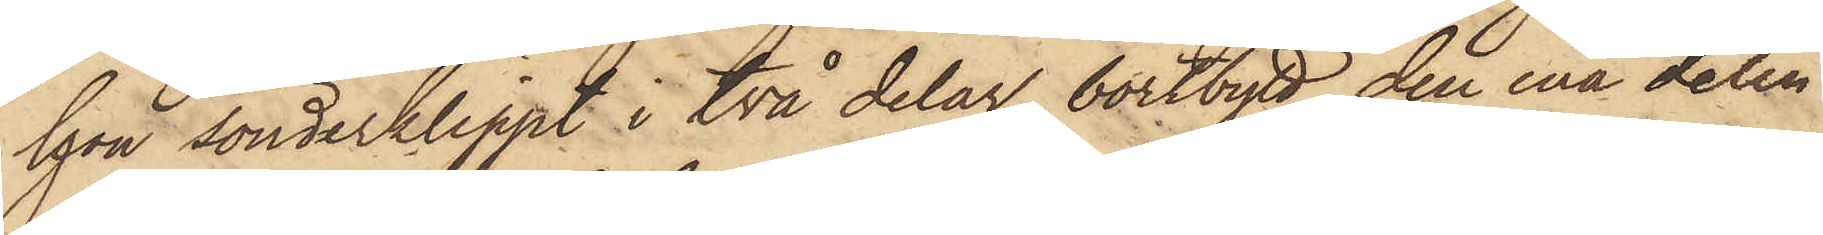hon sönderklippt i två delar, bortbytt den ena delen
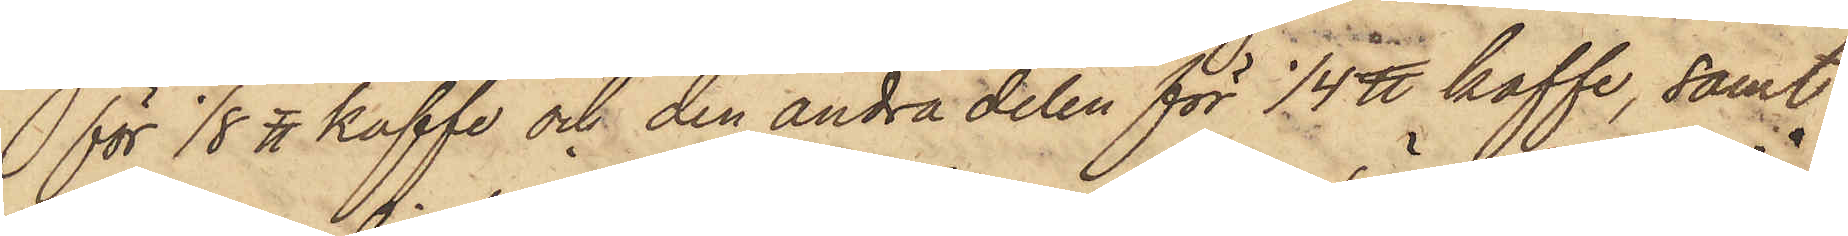för 1/8 ℔ kaffe och den andra delen för 1/4 ℔ kaffe, samt
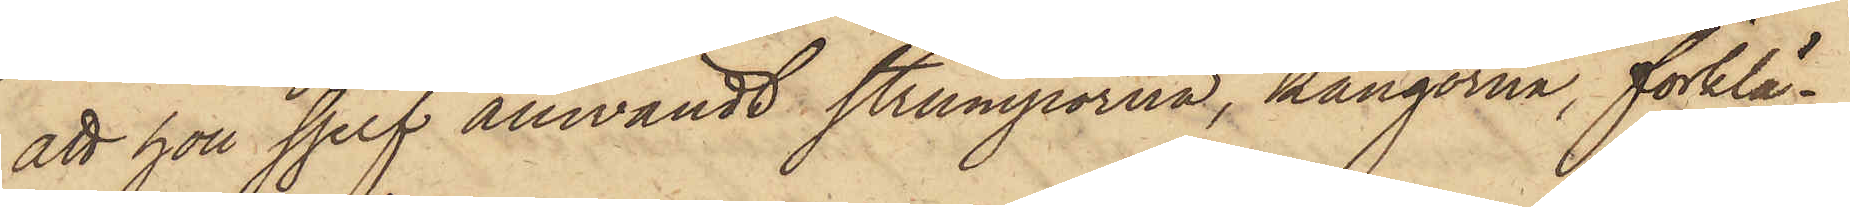att hon sjelf anwändt strumporna, kängorna, förklä¬
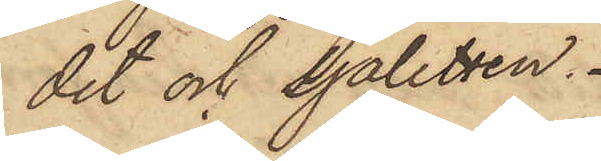det och sjaletten.
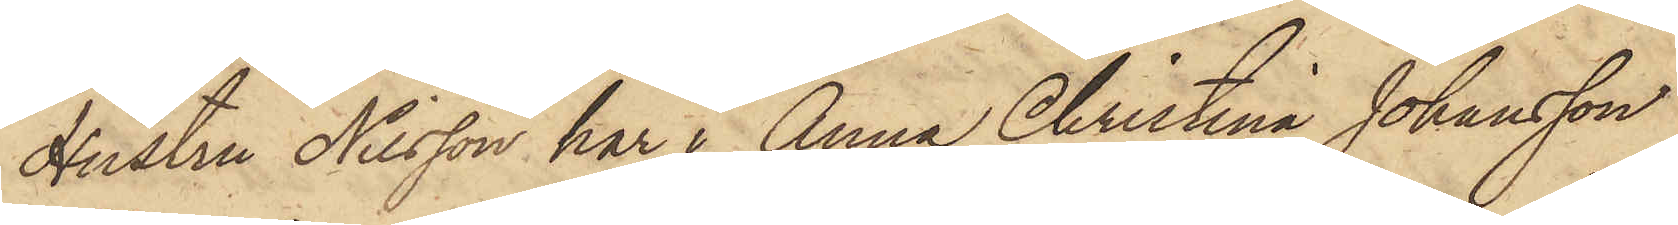Hustru Nilsson har i Anna Christina Johansson
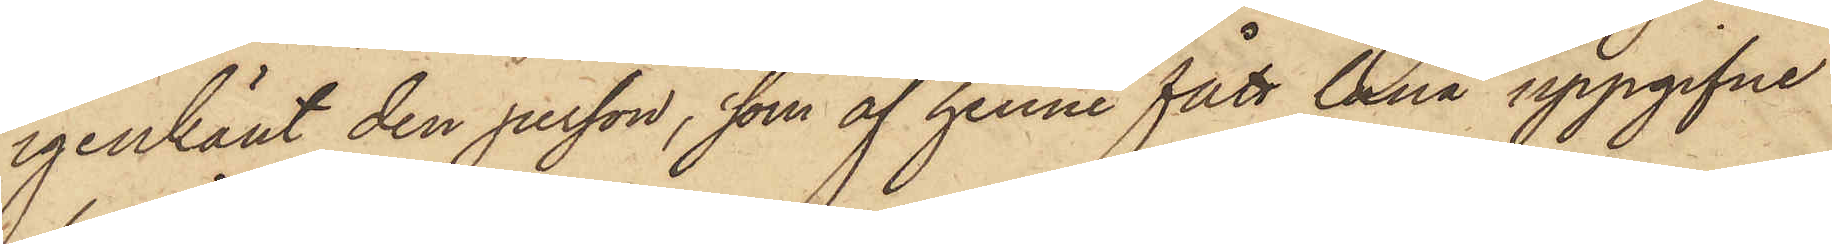igenkänt den person, som af henne fått låna uppgifne
